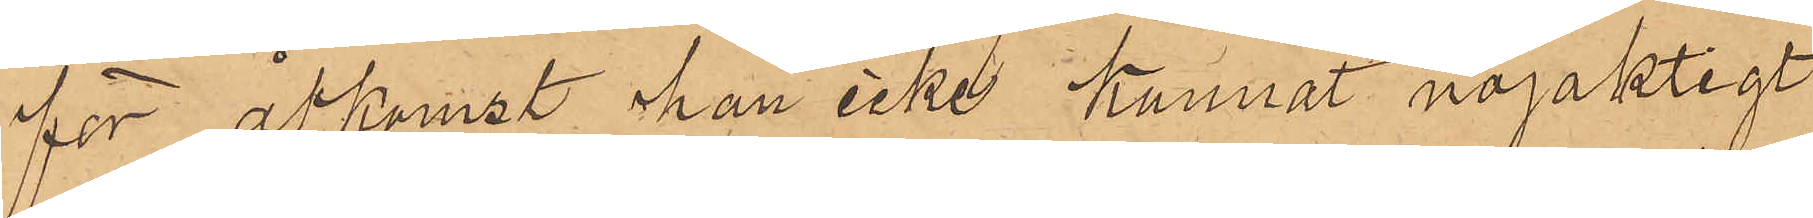för åtkomst han icke kunnat nöjaktigt
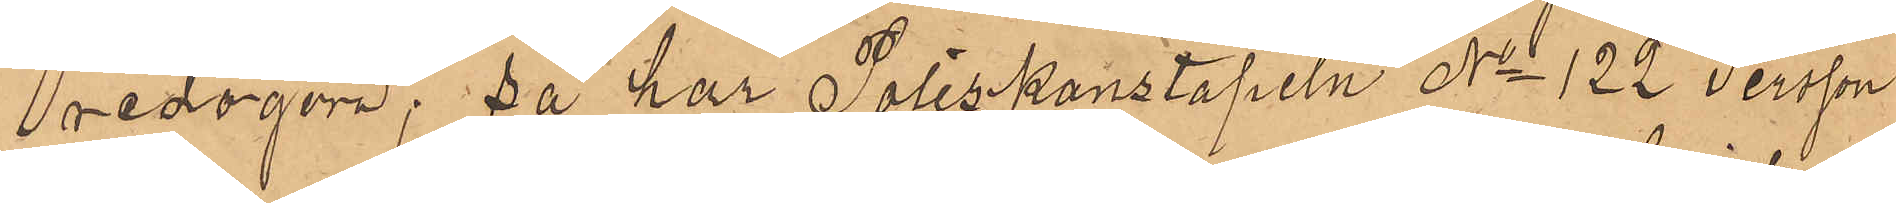redogöra, så har Poliskonstapeln No 122 Persson
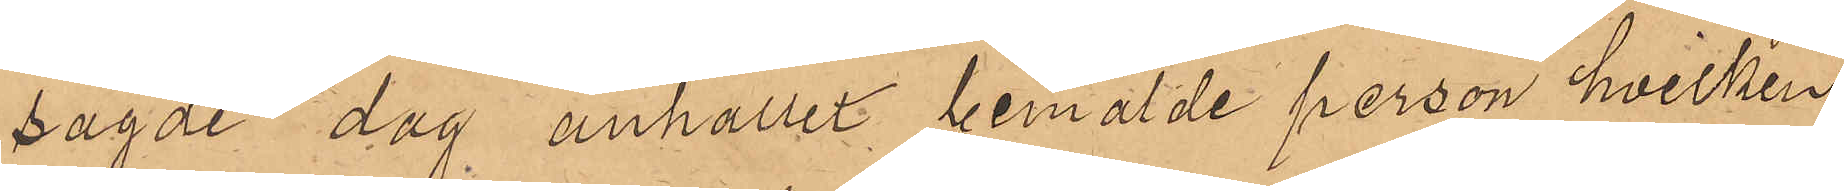sagde dag anhållit bemälde person, hvilken
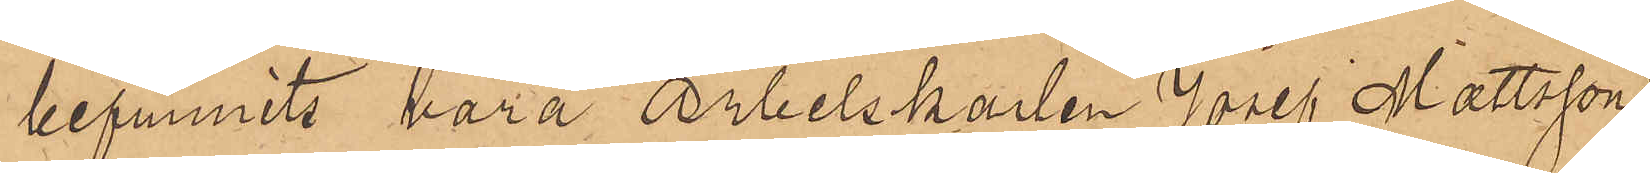befunnits vara Arbetskarlen Josef Mattsson
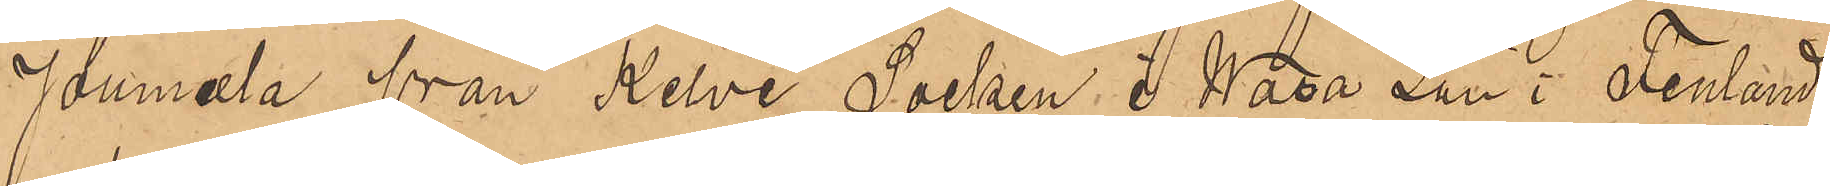Joumala från Kelvi Socken i Wasa Län i Finland
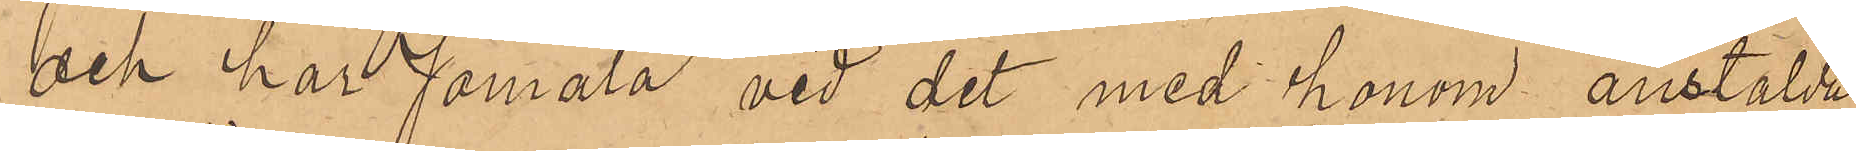och har Jomala vid det med honom anstälda
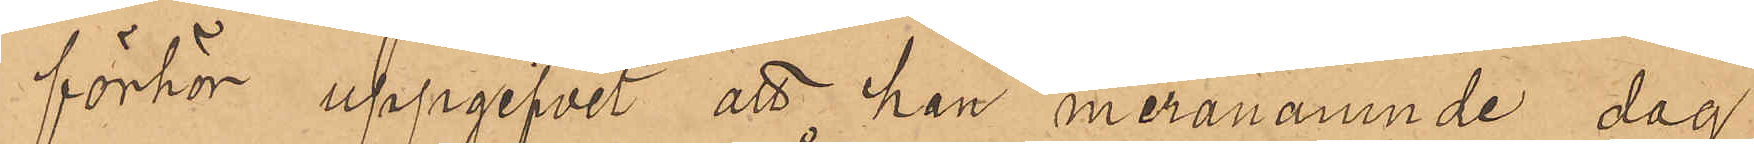förhör uppgifvit att han meranämnde dag
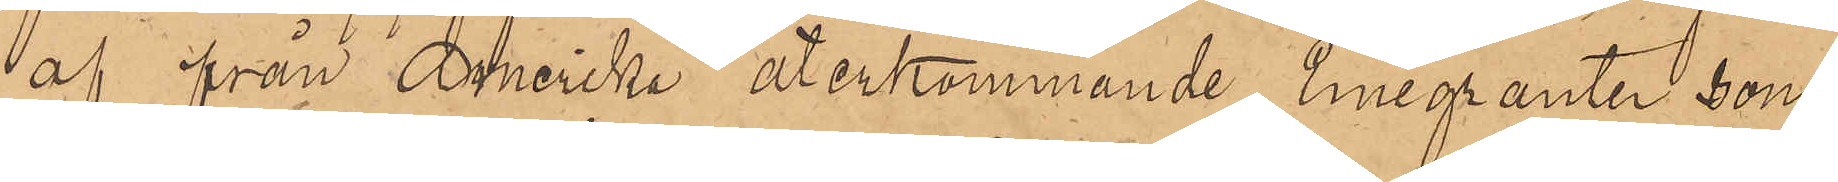af från Amerika återkommande Emigranter, som
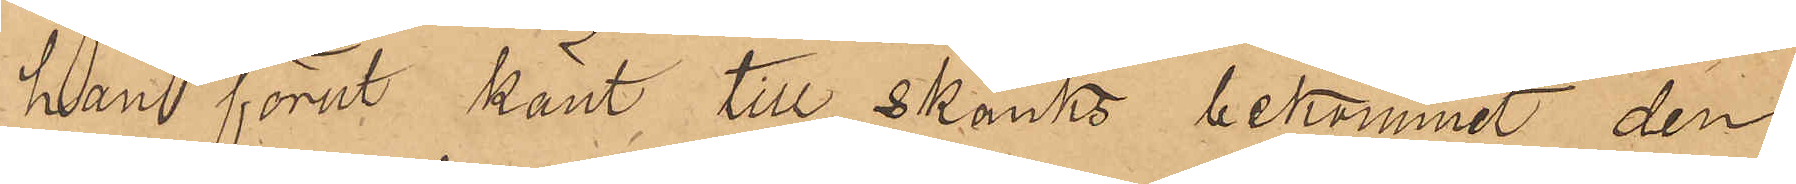han förut känt till skänks bekommit den
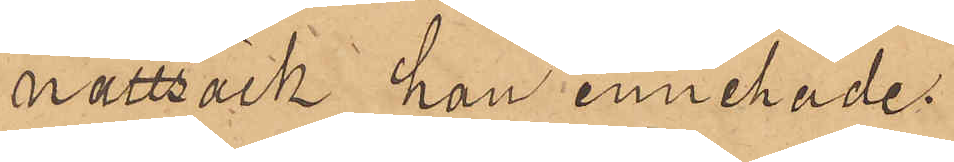nattsäck han innehade.
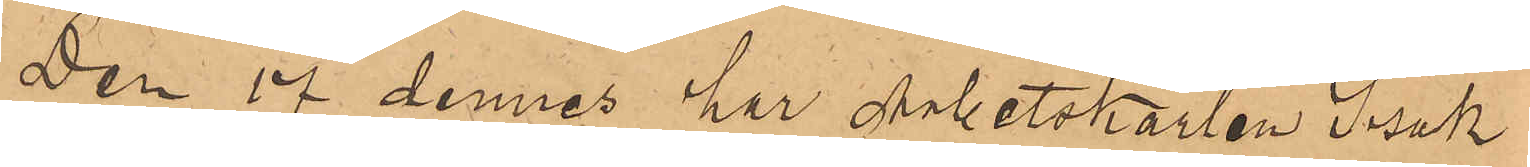Den 17 dennes har Arbetskarlen Isak
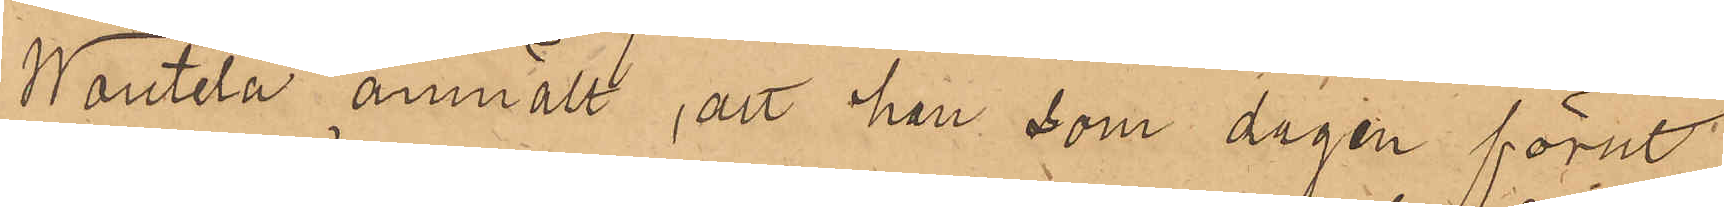Wautela anmält, att han, som dagen förut
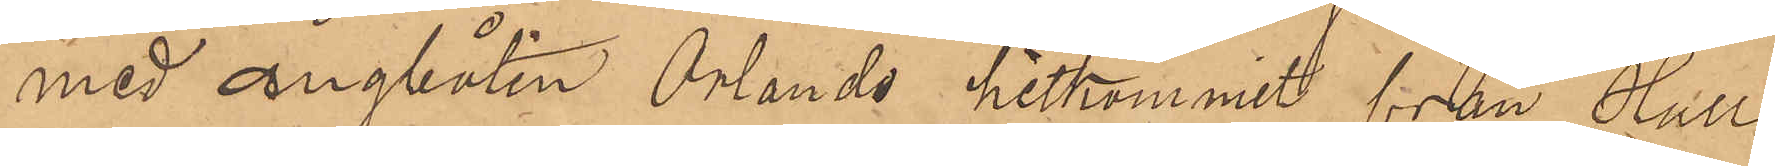med ångbåten Orlando hitkommit från Hull
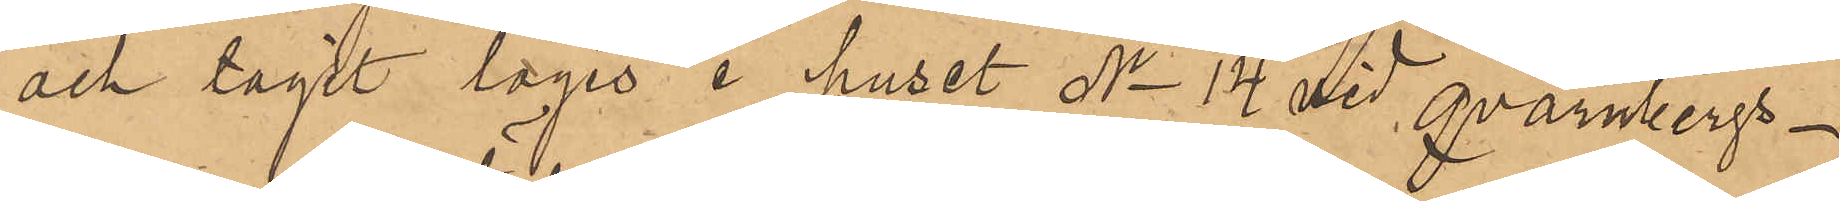och tagit logis i huset No 14 vid Qvarnbergs¬
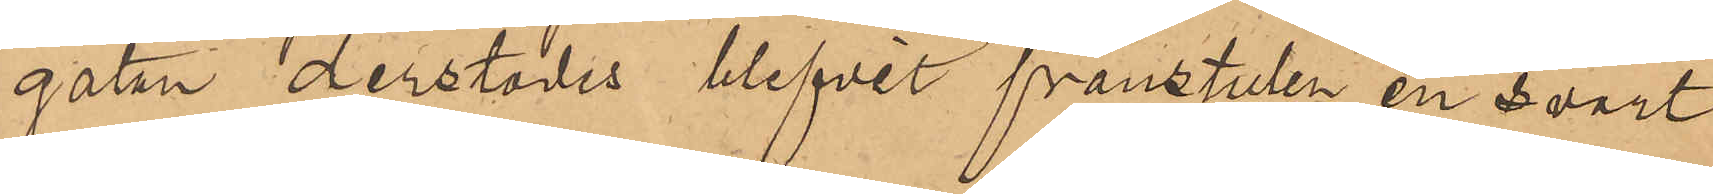gatan derstädes blifvit frånstulen en svart
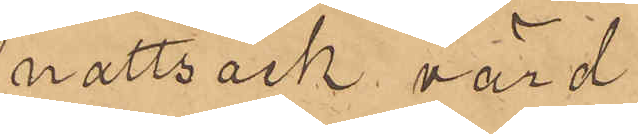nattsäck, värd
